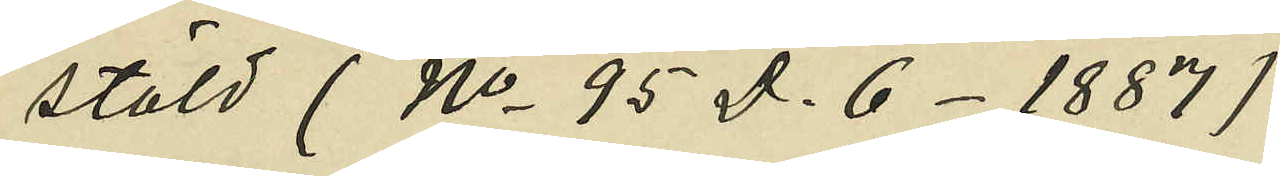stöld (No 95 D. 6- 1887);
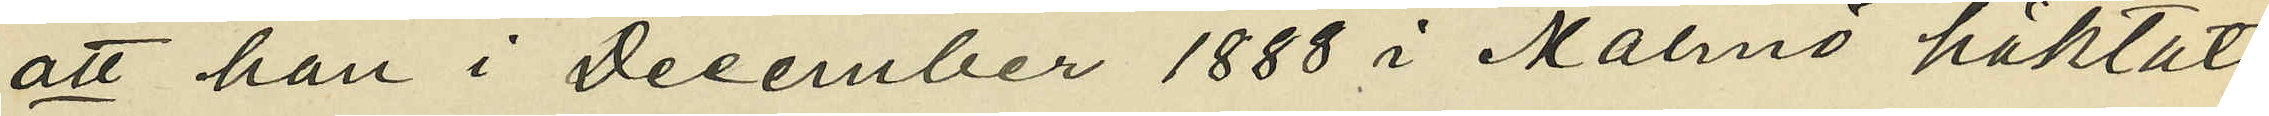att han i December 1888 i Malmö häktats
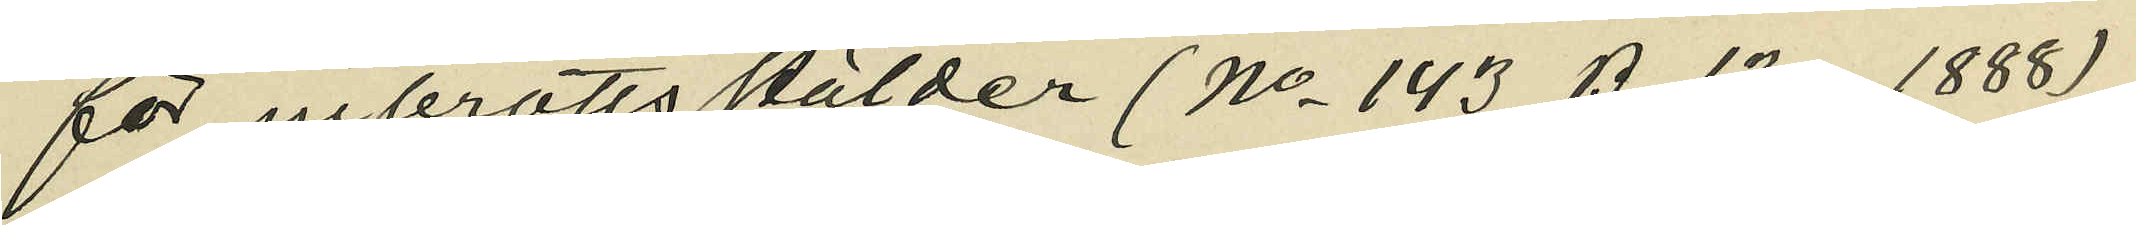för inbrottsstölder (No 143 B. 13 - 1888);
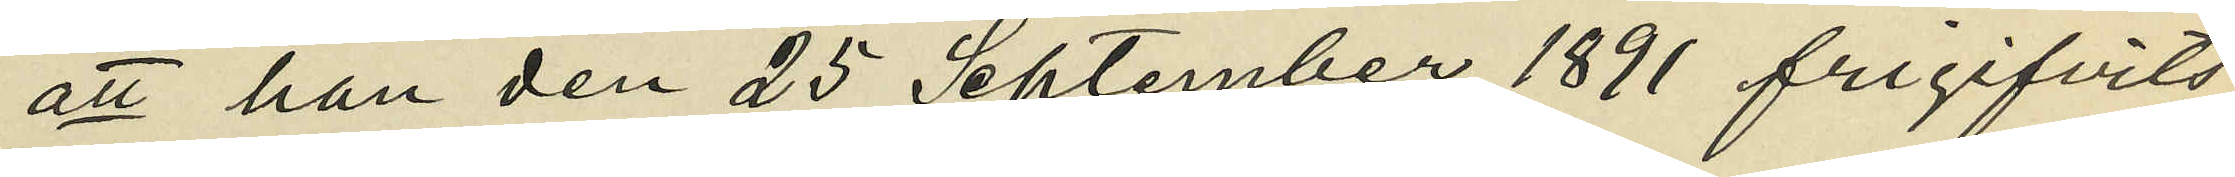att han den 25 September 1891 frigifvits
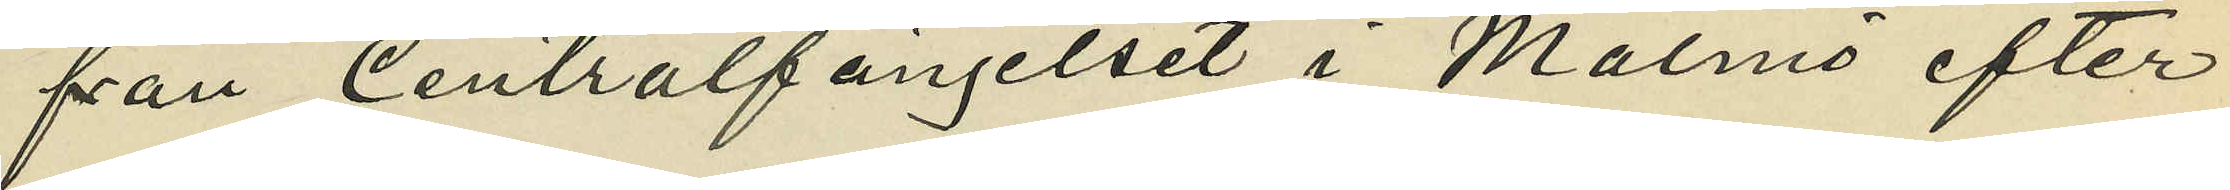från Centralfängelset i Malmö efter
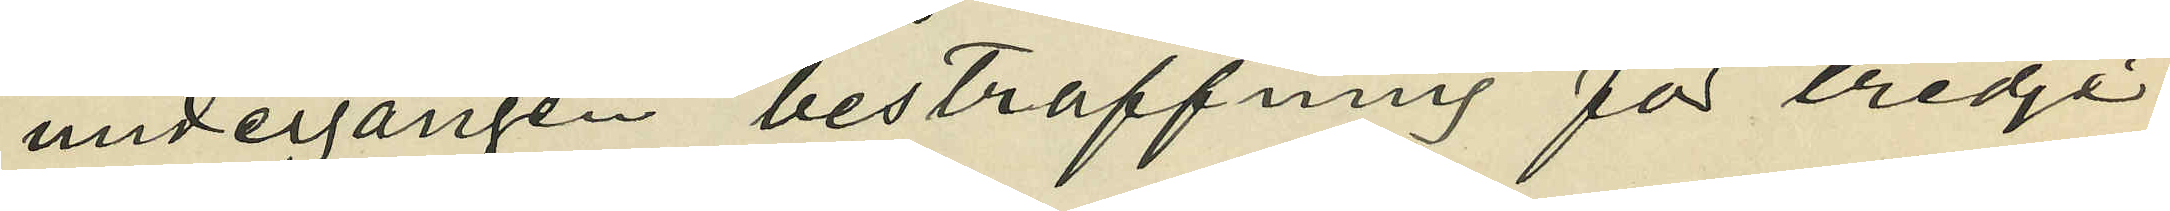undergången bestraffning för tredje
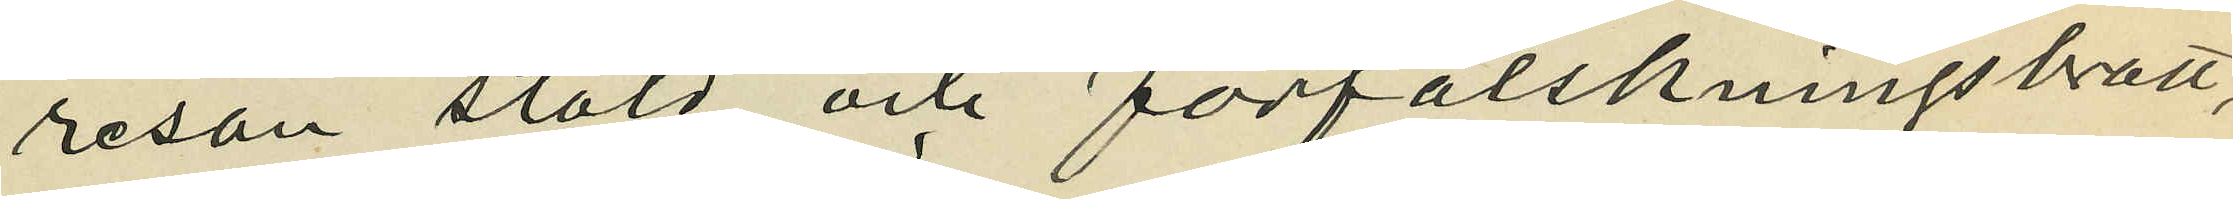resan stöld och förfalskningsbrott,
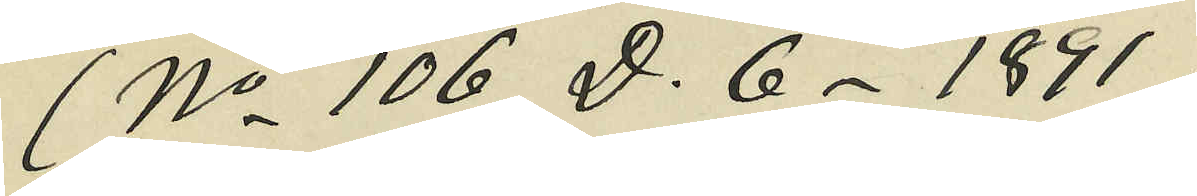(No 106 D. 6 - 1891);
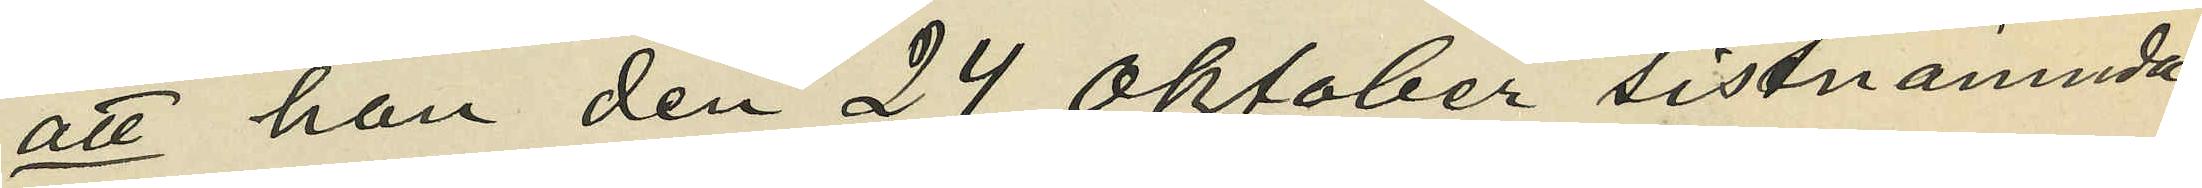att han den 24 Oktober sistnämnda
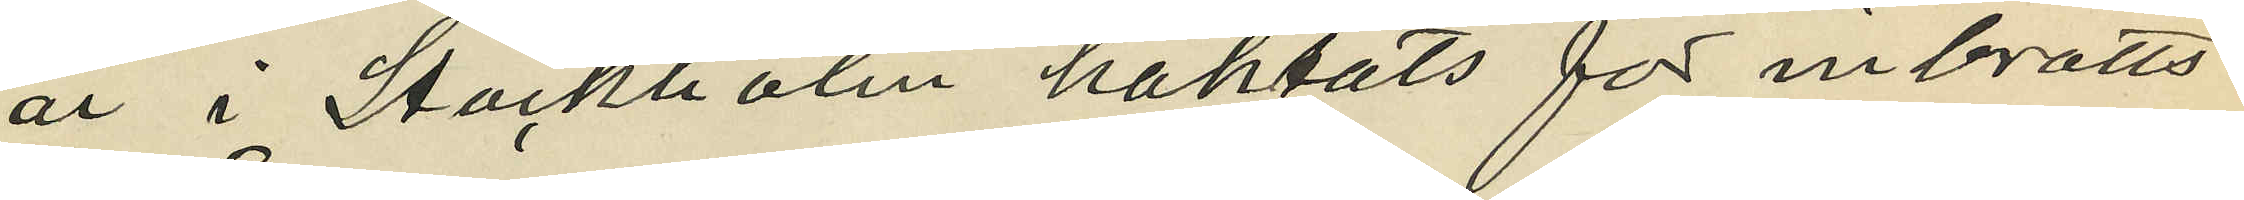år i Stockholm häktats för inbrotts¬
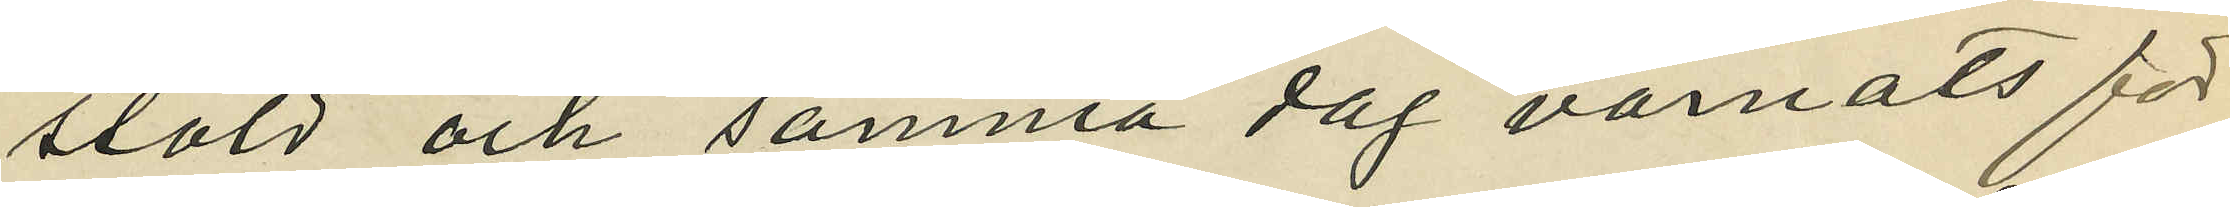stöld och samma dag varnats för
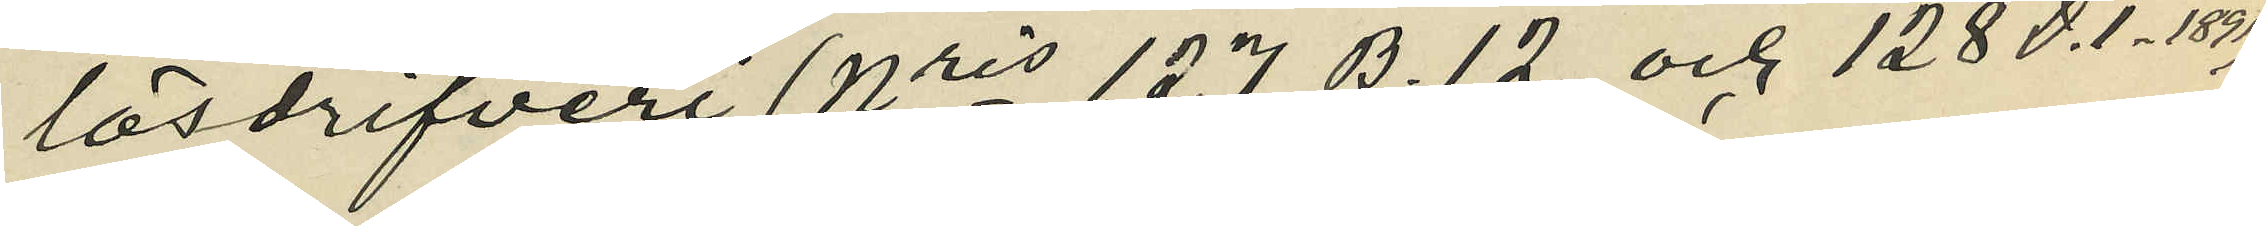lösdrifveri ( Nris 127 B. 12 och 128 D.I. - 1891) 
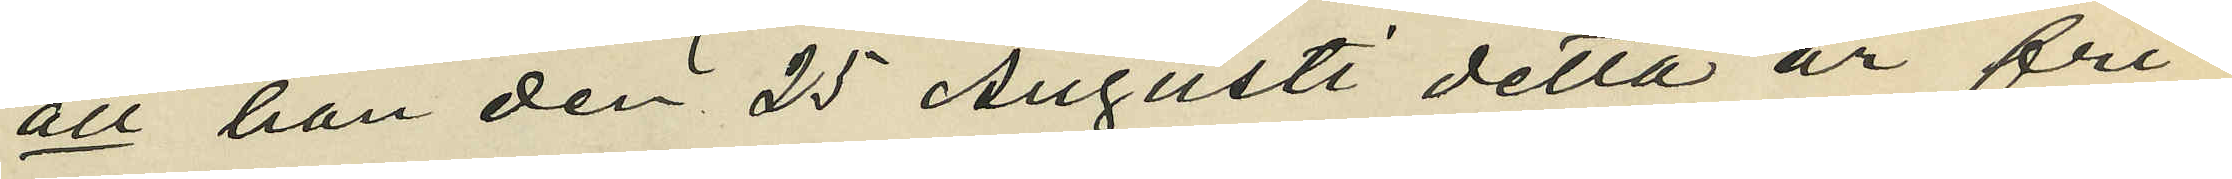att han den 25 Augusti detta år fri¬
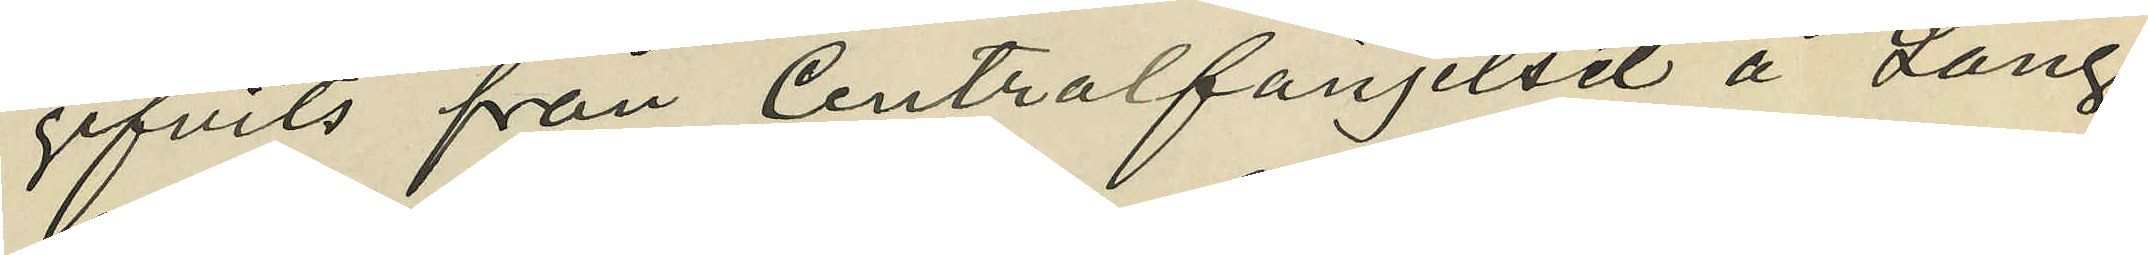gifvits från Centralfängelset å Lång¬
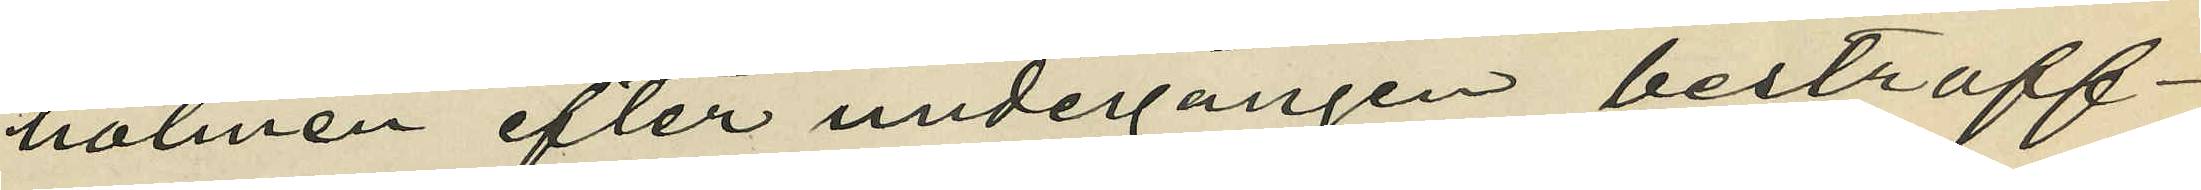holmen efter undergången bestraff¬
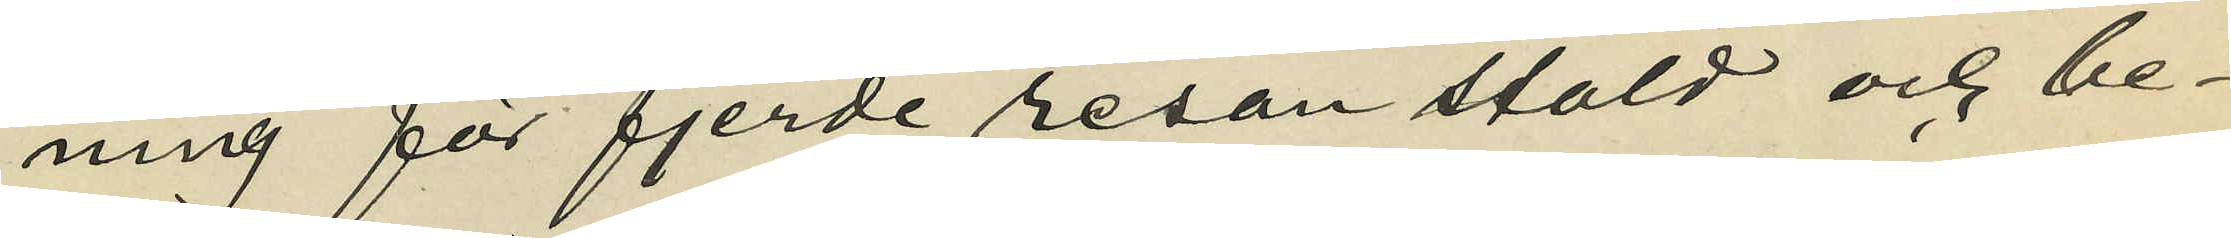ning för fjerde resan stöld och be¬
